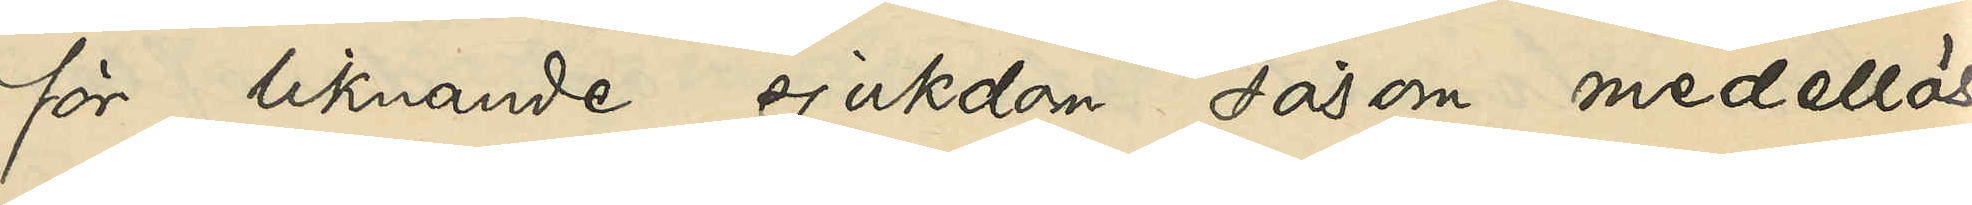för likande sjukdom såsom medellös
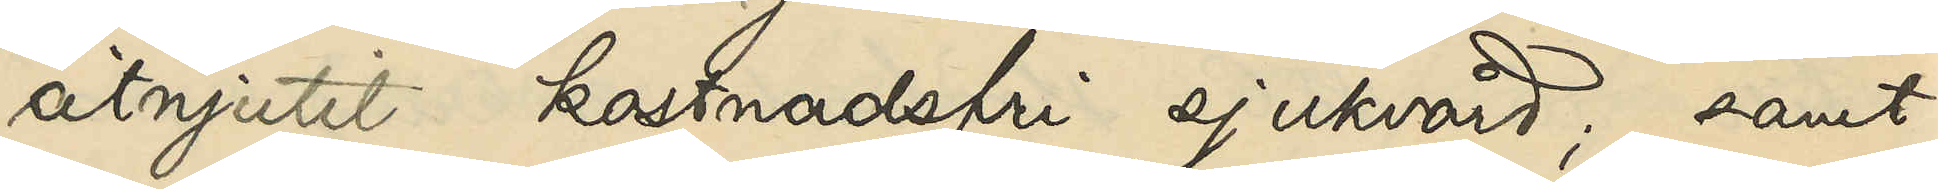åtnjutit kostnadsfri sjukvård; samt
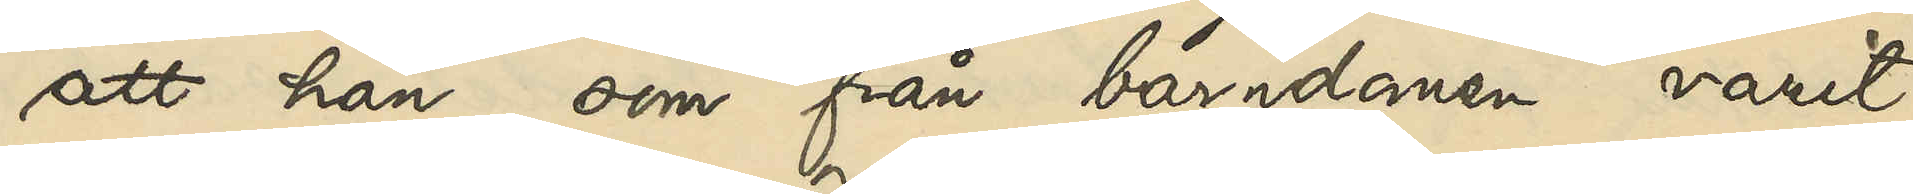att han, som från barndomen varit
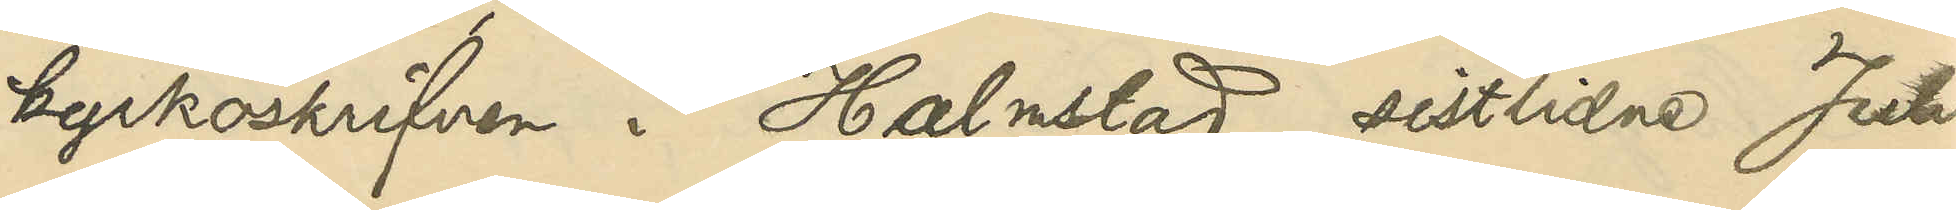kyrkoskrifven i Halmstad, sistlidne Juli
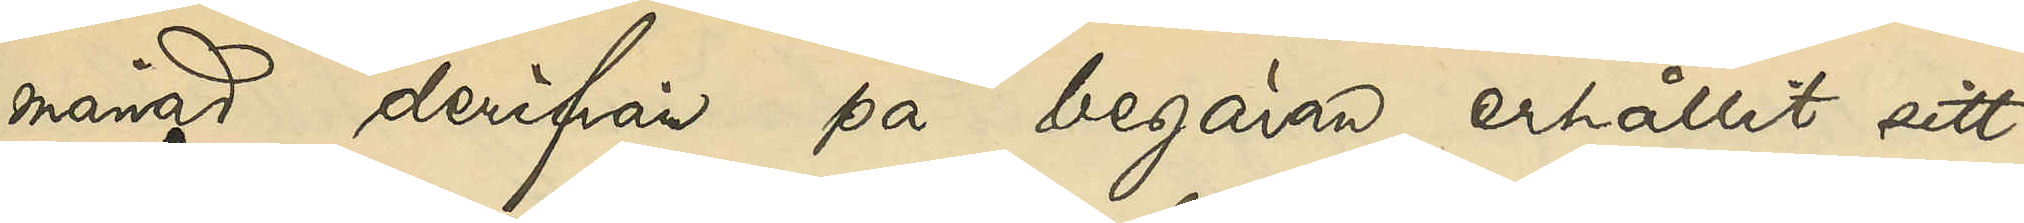månad derifrån på begäran erhållit sitt
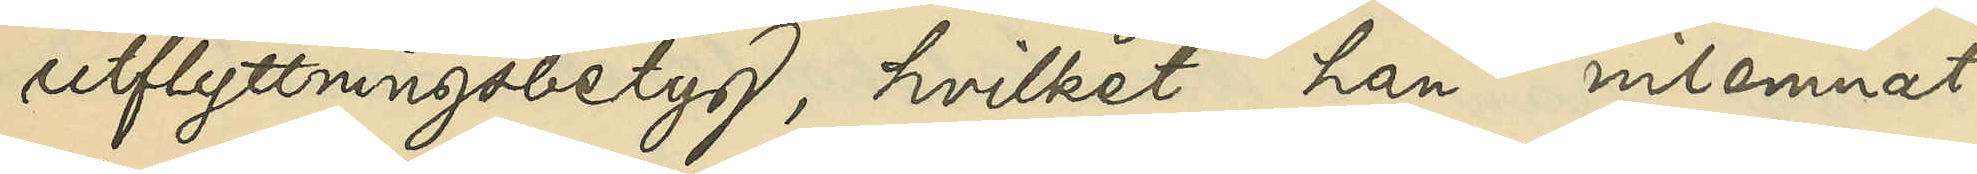utflyttningsbetyg, hvilket han inlemnat
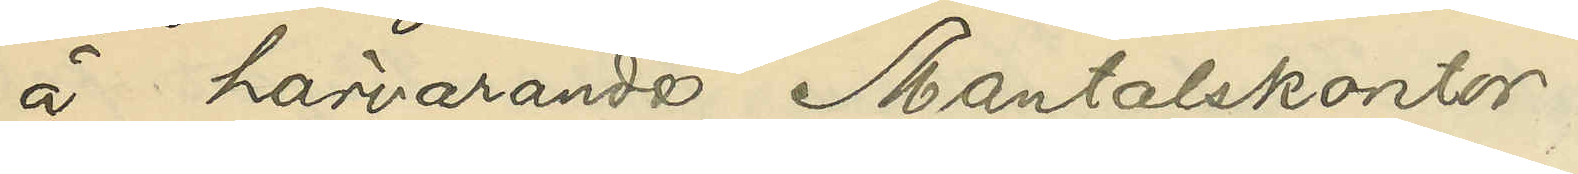å härvarande Mantalskontor.
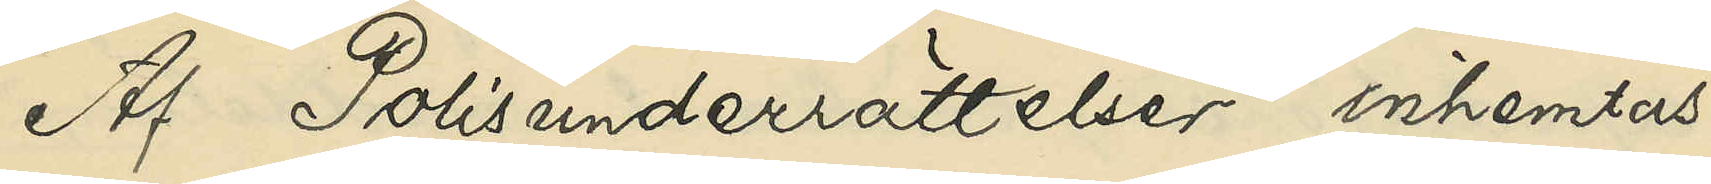Af Polisunderrättelser inhemtas
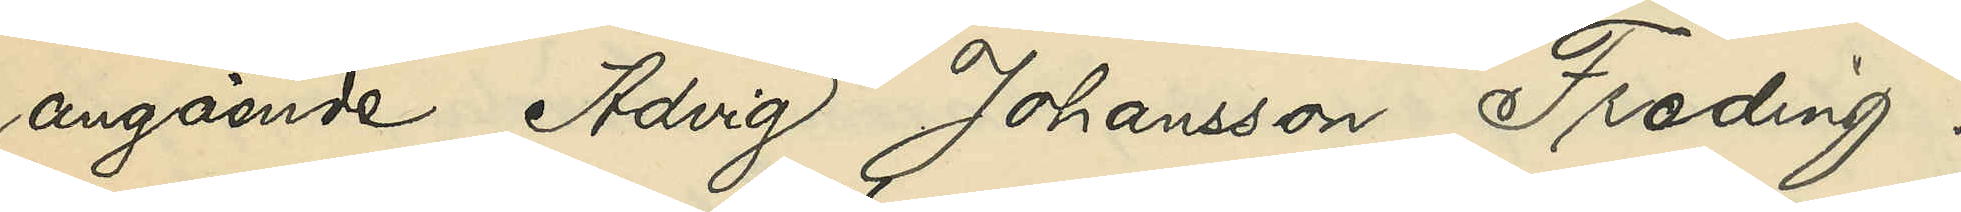angående Advig Johansson Freding:
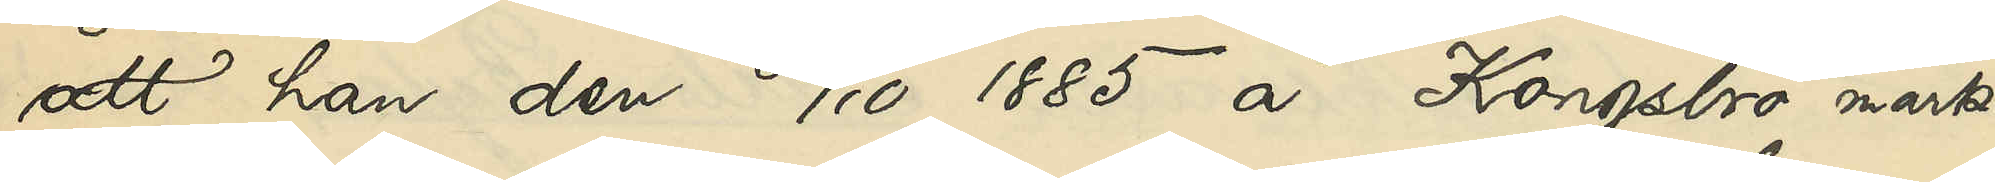att han den 30/10 1885 å Kongsbro mark¬
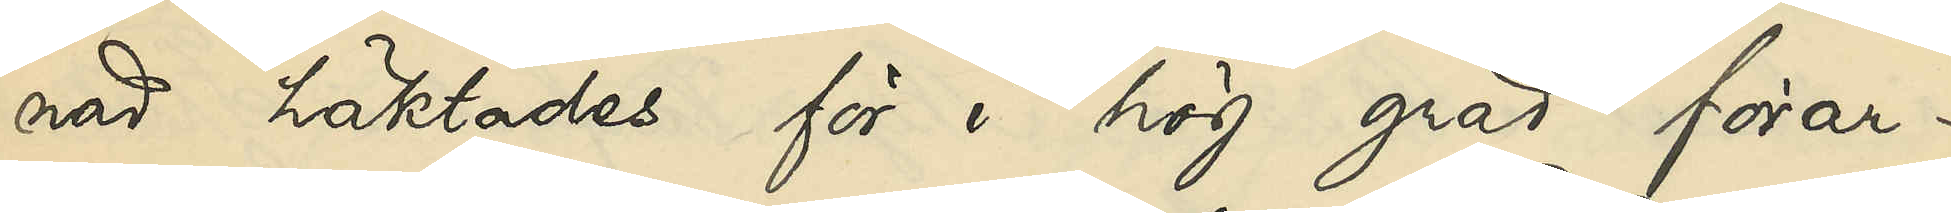nad häktades för i hög grad förar¬
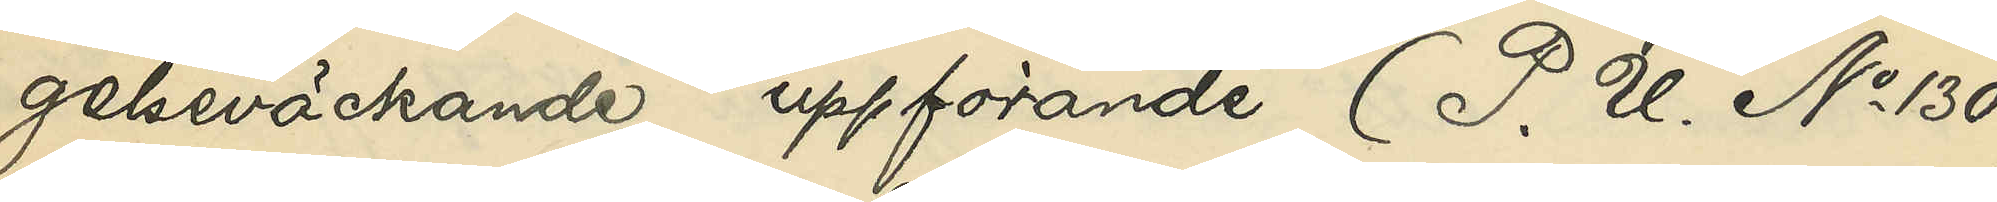gelseväckande uppförande (P. U. No 130
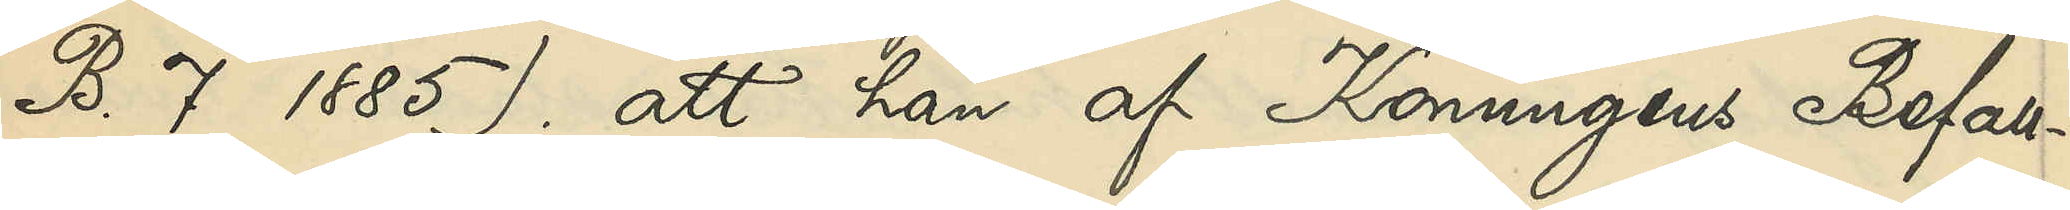B. 7 1885); att han af Konungens Befall¬
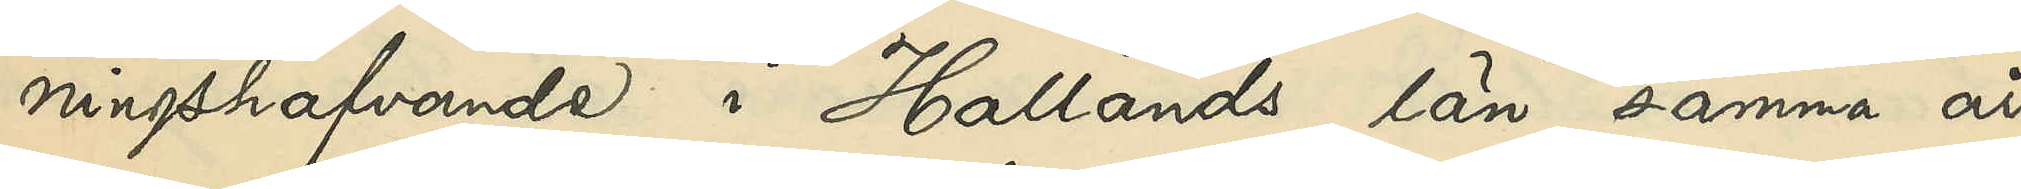ningshafvande i Hallands län samma år
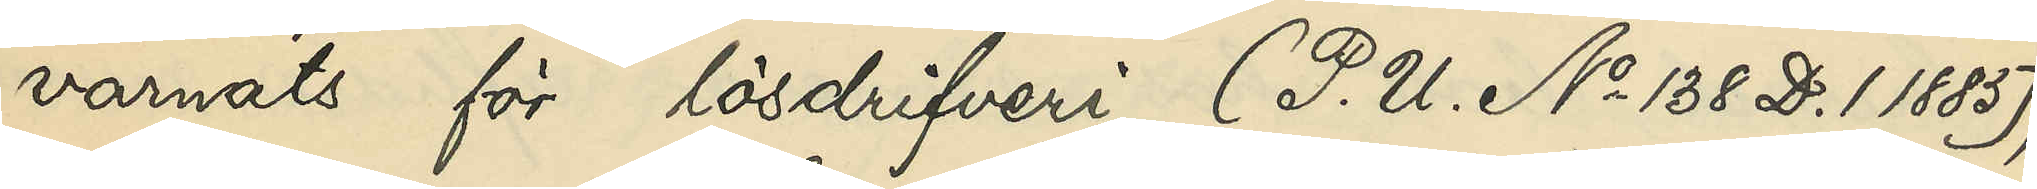varnats för lösdrifveri (P. U. No 138 D. 1 1885);
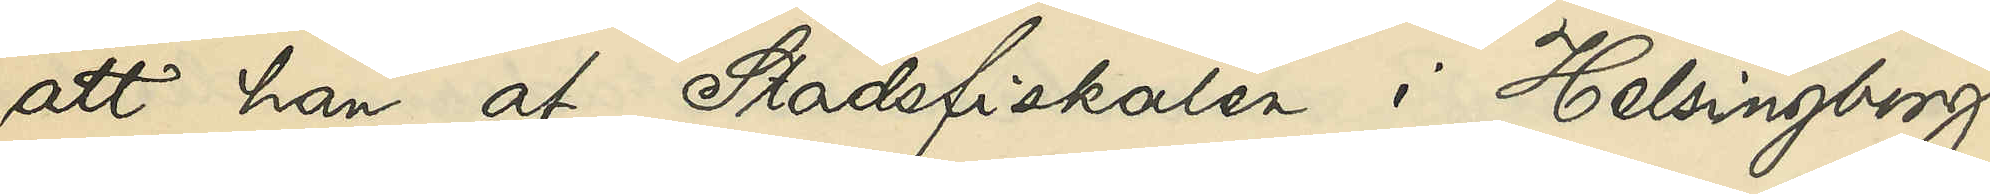att han af Stadsfiskalen i Helsingborg
